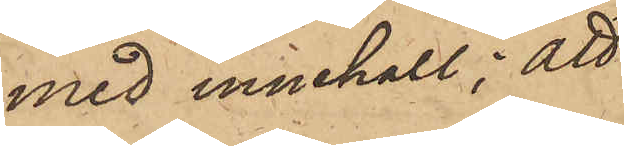med innehåll; att
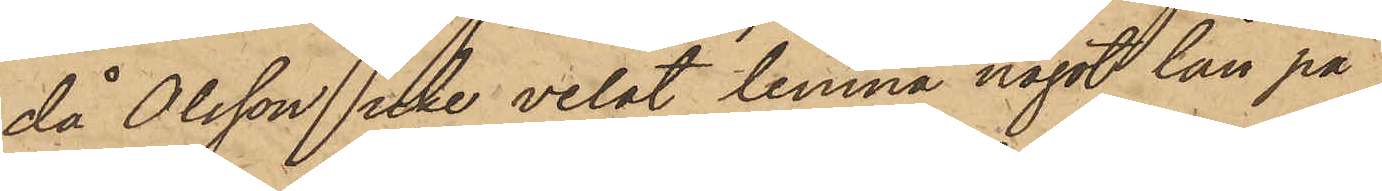då Olsson icke velat lemna något lån på
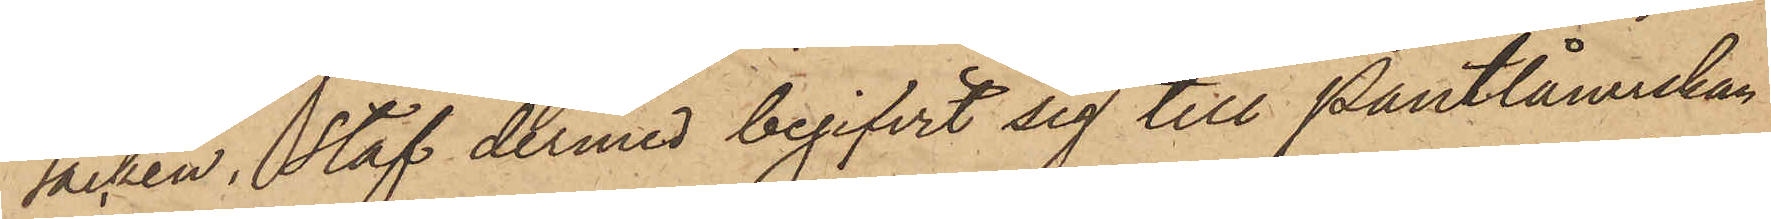säcken, Staf dermed begifvit sig till Pantlånerskan
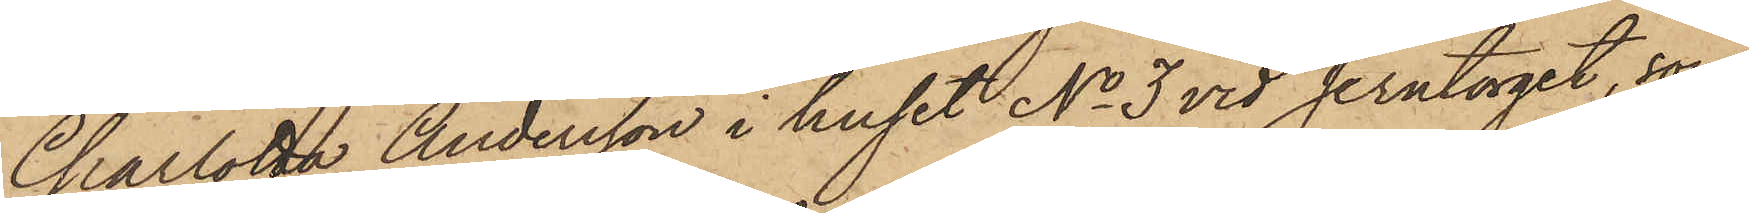Charlotta Andersson i huset No 3 vid Jerntorget, som
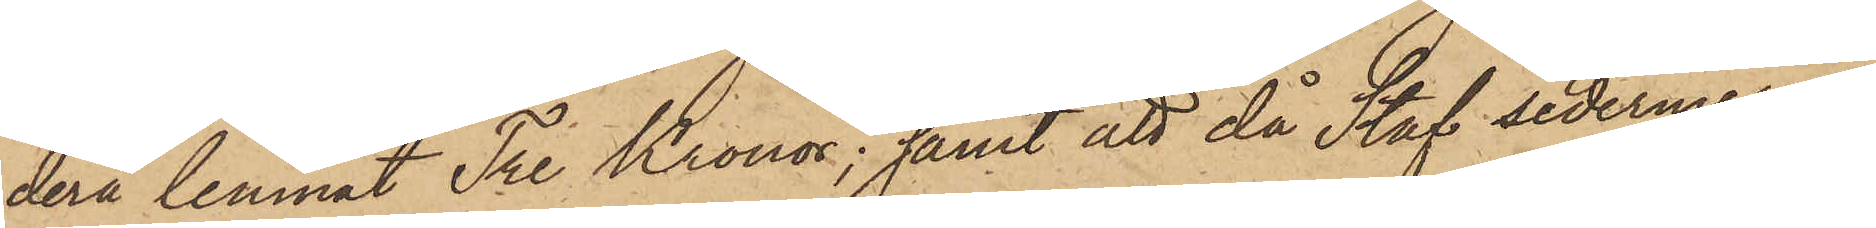derå lemnat Tre Kronor; samt att då Staf sedermera
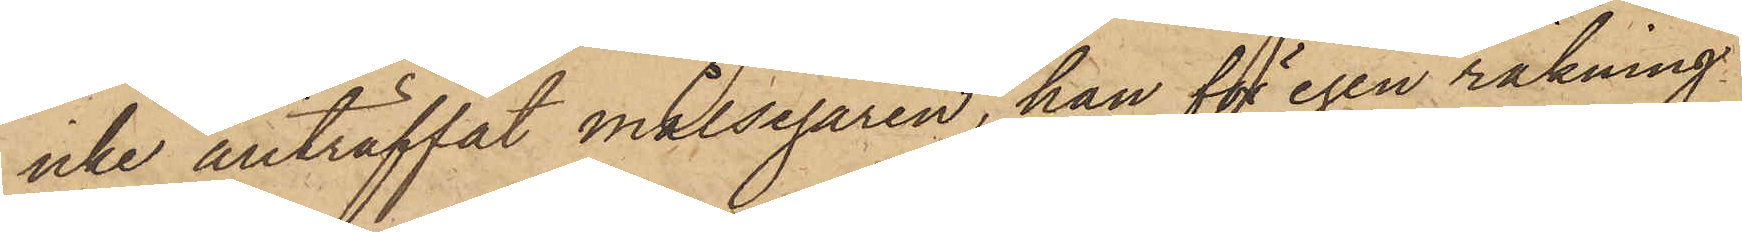icke anträffat målsegaren, han för egen räkning
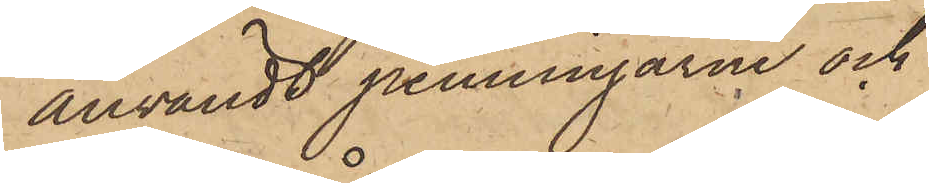användt penningarne och
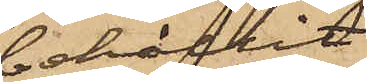behållit
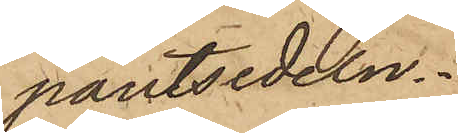pantsedeln.
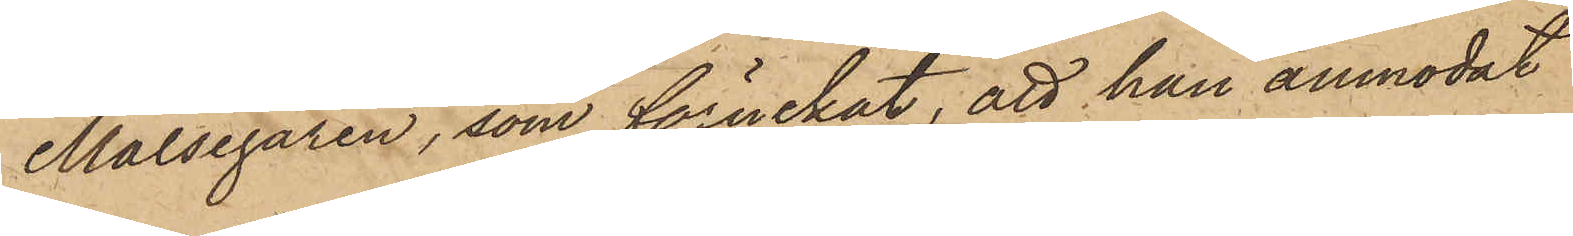Målsegaren, som förnekat, att han anmodat
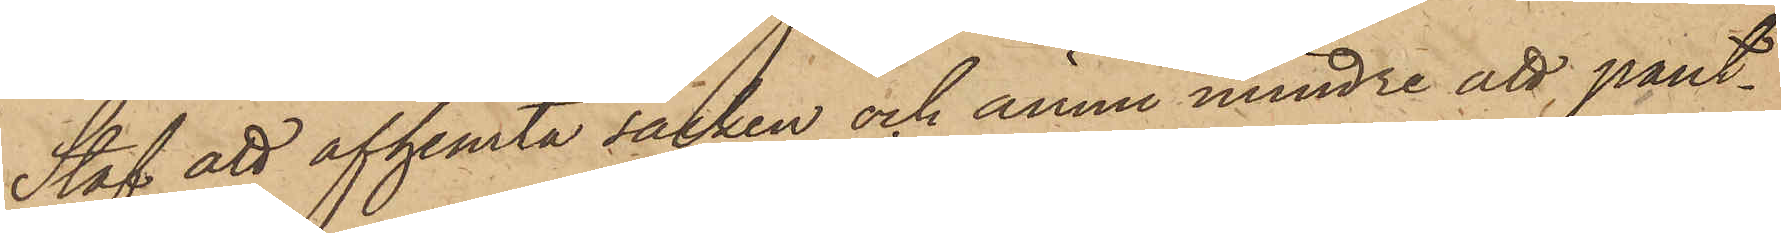Staf att afhemta säcken och ännu mindre att pant¬
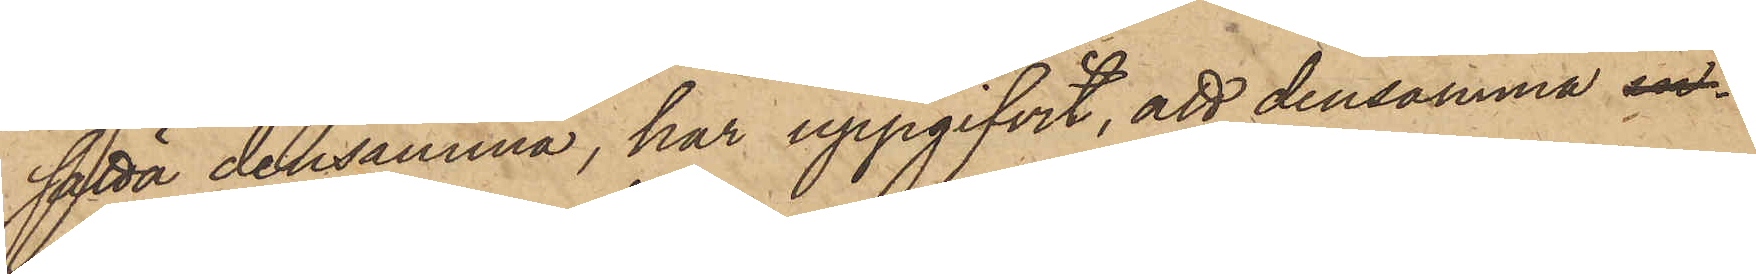sätta densamma, har uppgifvit, att densamma in¬
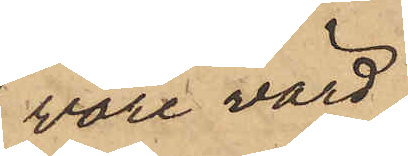vore värd
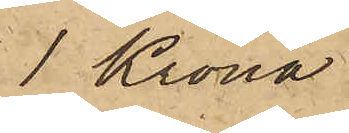1 Krona
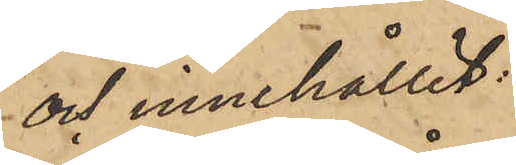och innehållit:
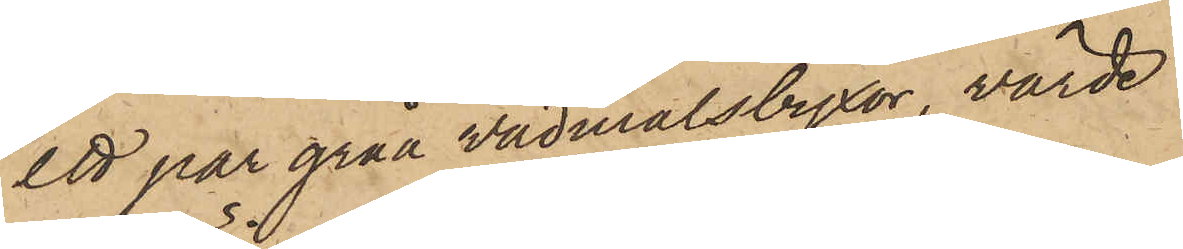ett par gråa vadmalsbyxor, värde
